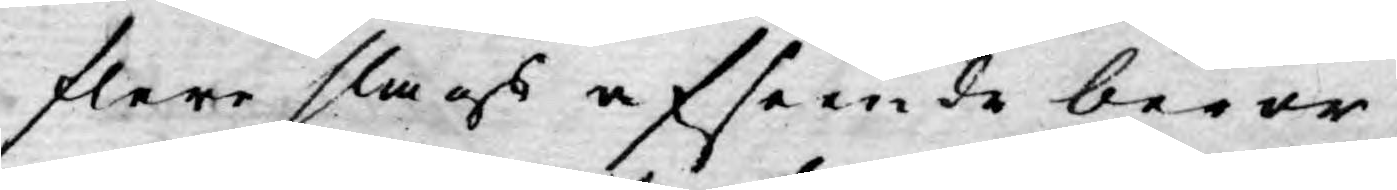flere slags afseende beror,
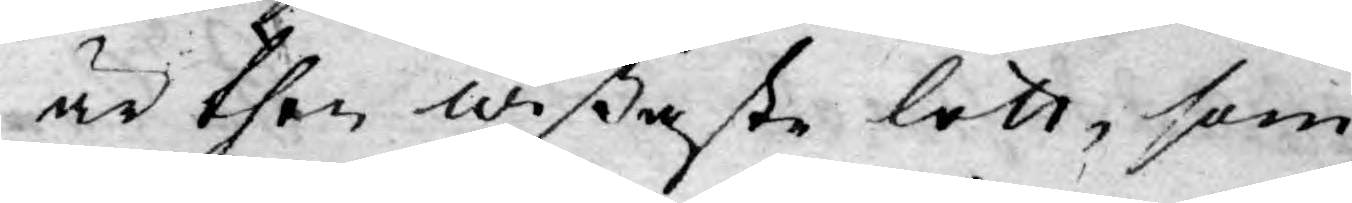är then wißaste lott, som
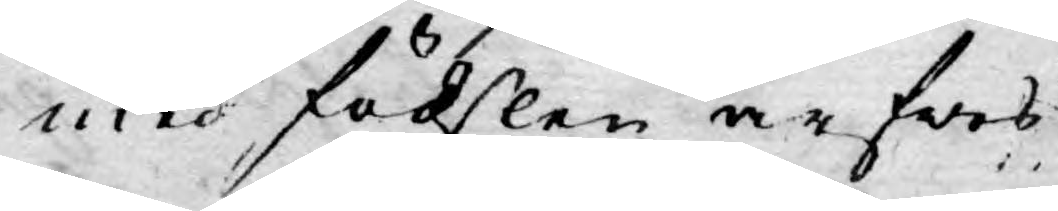med födslen ärfwes.
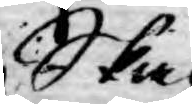Ska
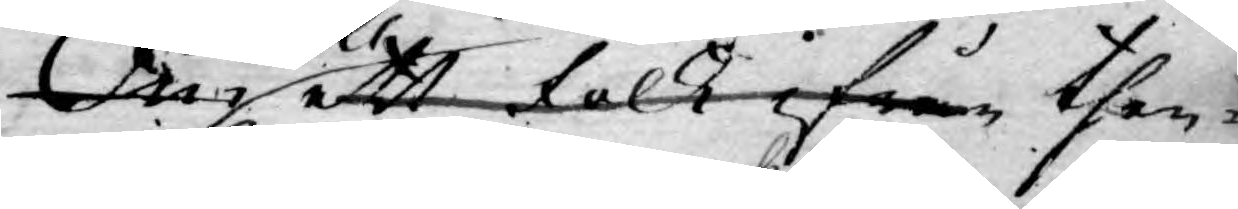Om ett folk ifrån then¬
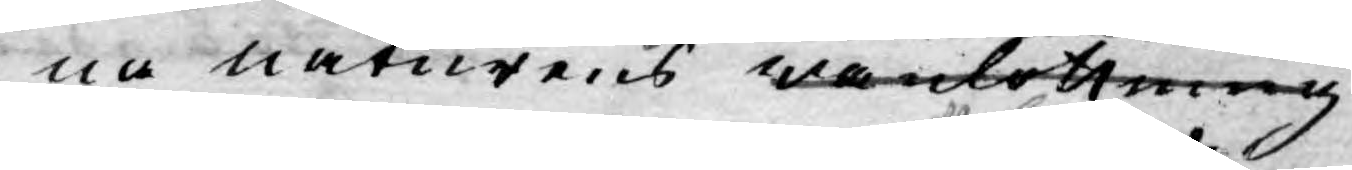na naturens wanlottning
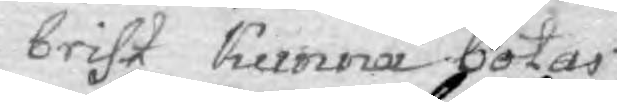brist kunna botas
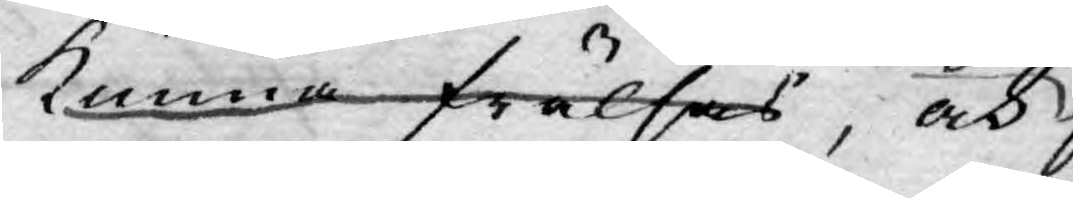kunna frälsas, och
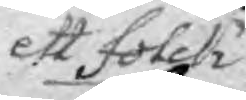ett Folck
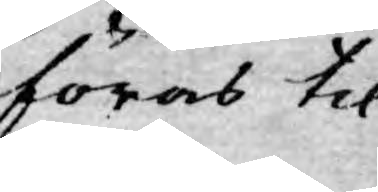föras til
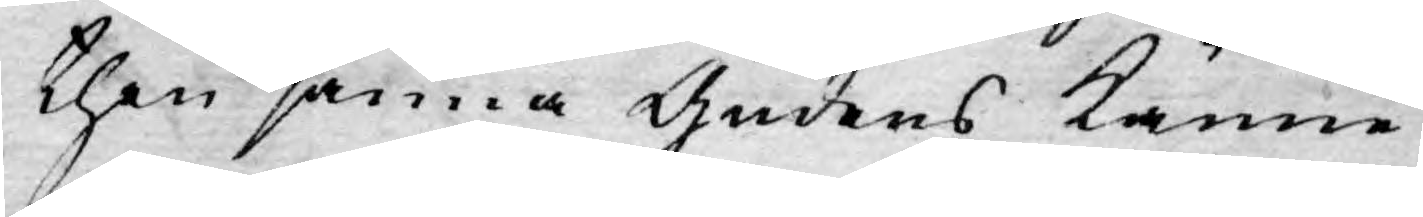then sanna Gudens känne¬
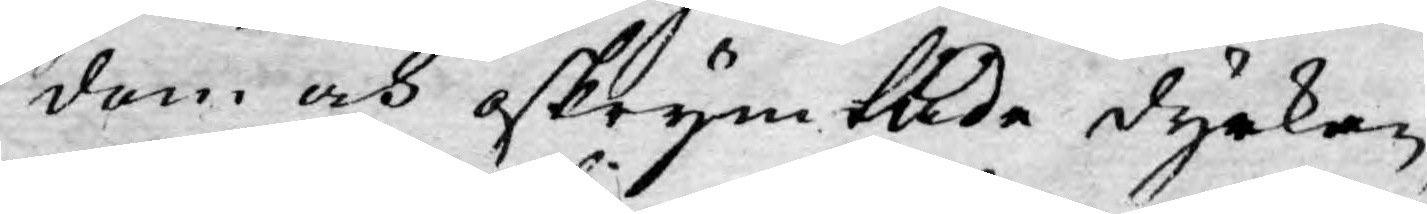dom och oskrymtade dyrkan,
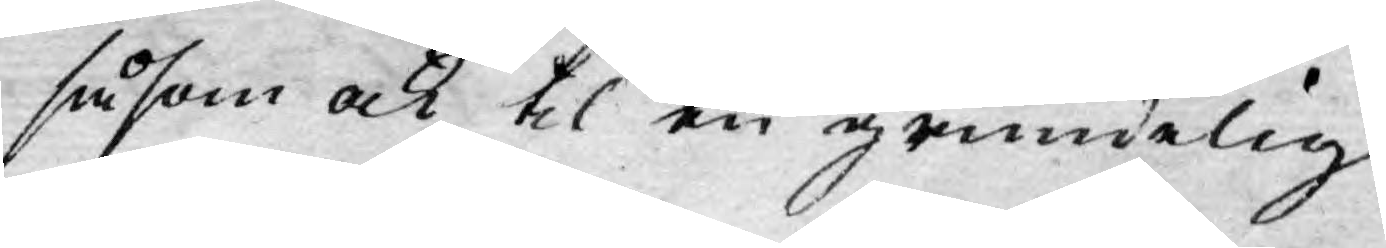såsom ock til en grundelig
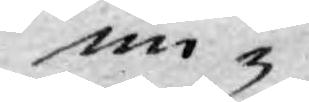un¬
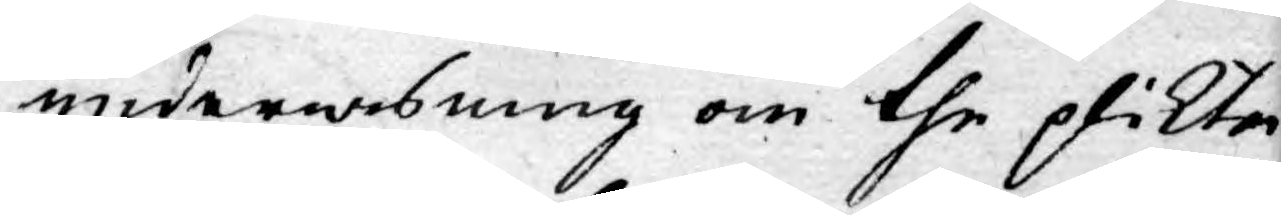underwisning om the plikter
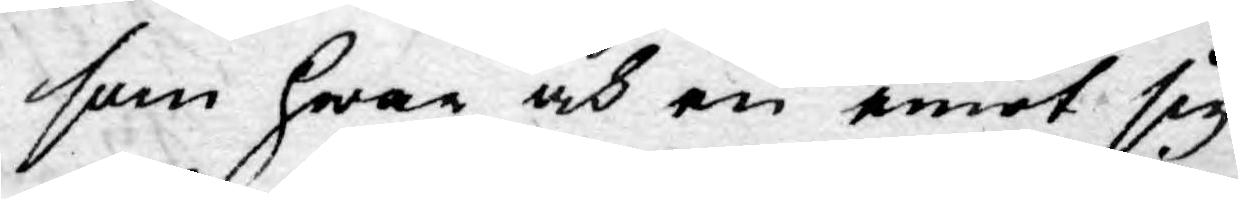som hwar och en emot sig
